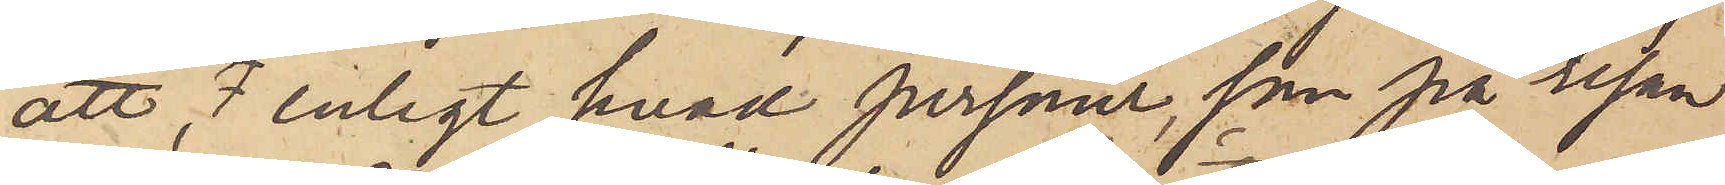att enligt hvad personer, som på resan
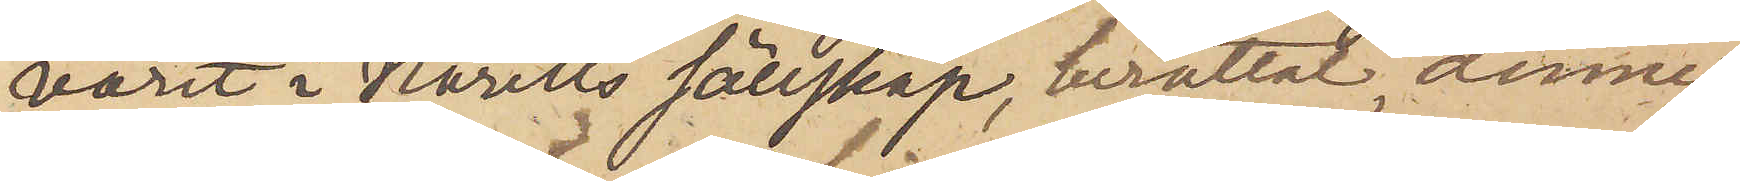varit i Norells sällskap, berättat, denne
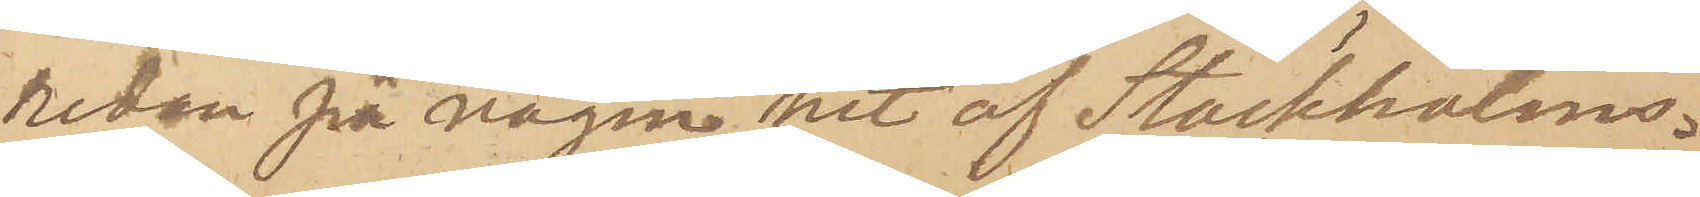redan på vägen hit af Stockholms¬
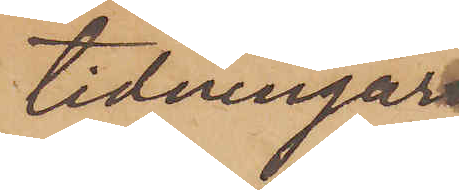tidningar
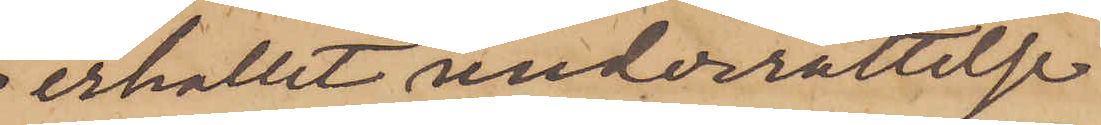erhållit underrättelse
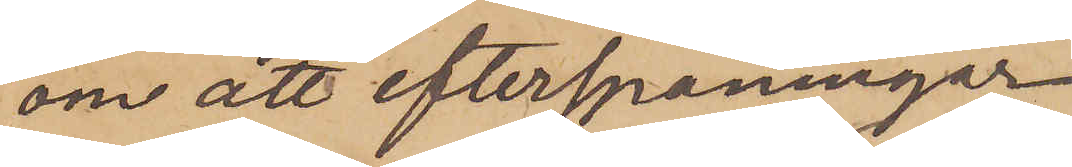om att efterspaningar
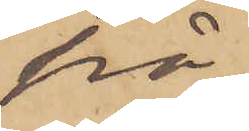på¬
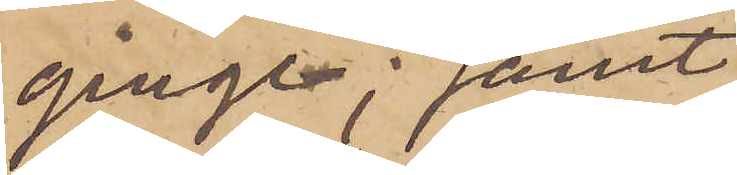ginge; samt
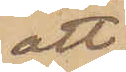att
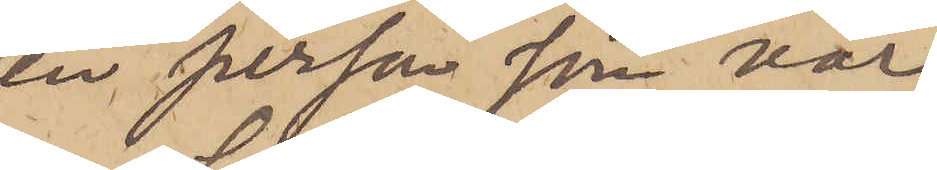en person som var
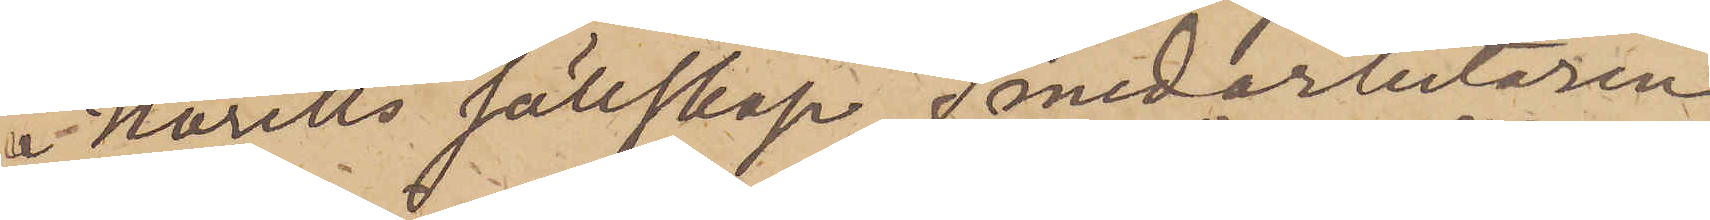i Norells sällskap, Smedarbetaren
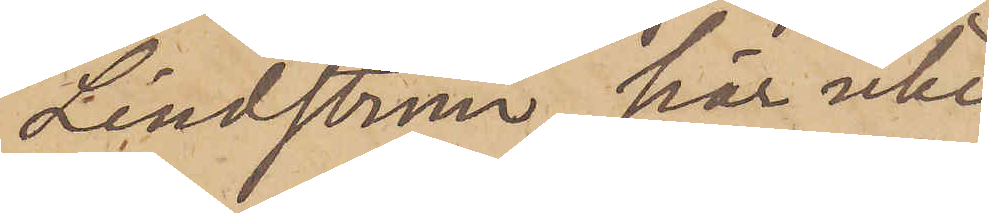Lindström, här icke
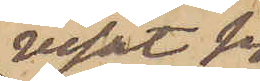visat sig
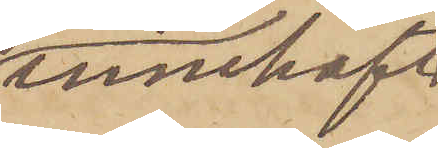innehaf¬
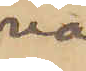va
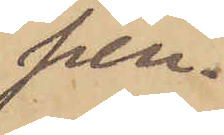pen¬
